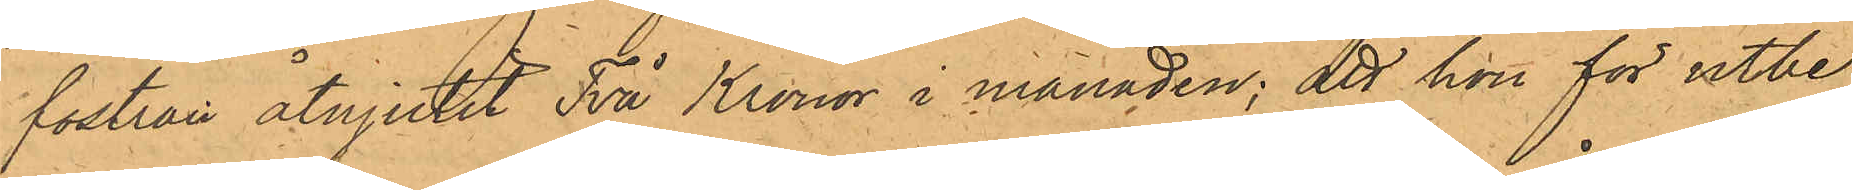fostran åtnjutit Två Kronor i månaden; att hon för utbe¬
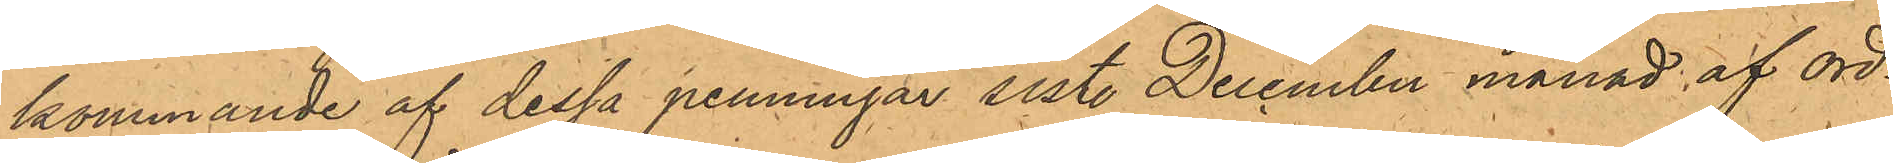kommande af dessa penningar sist. December månad af ord¬
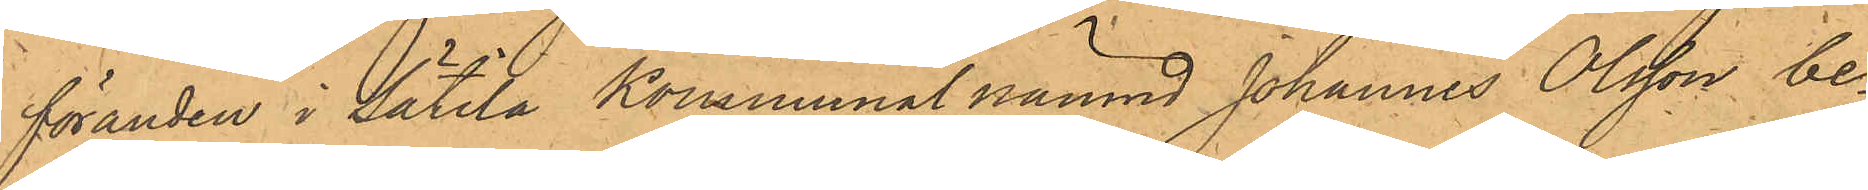föranden i Sätila Kommunal nämnd Johannes Olsson be¬
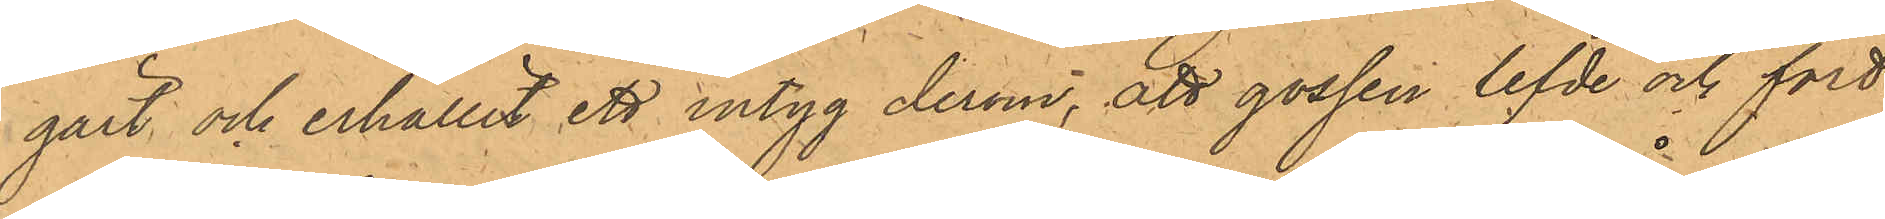gärt och erhållit ett intyg derom, att gossen lefde och fort¬
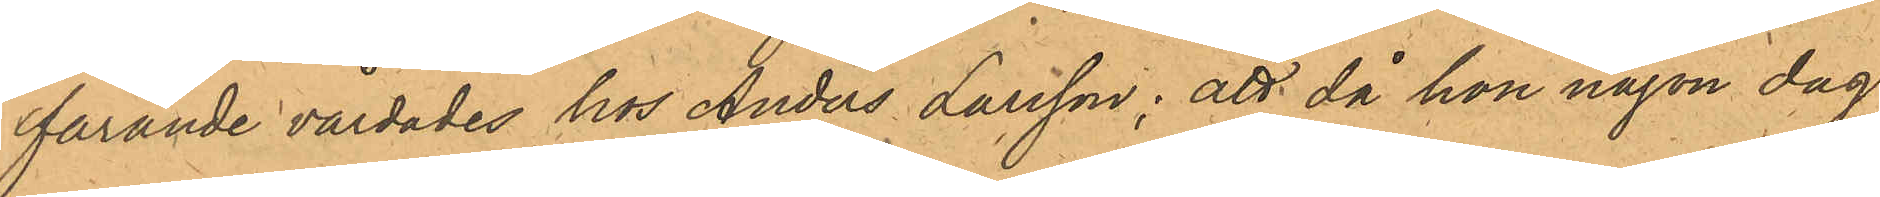farande vårdades hos Anders Larsson; att då hon någon dag
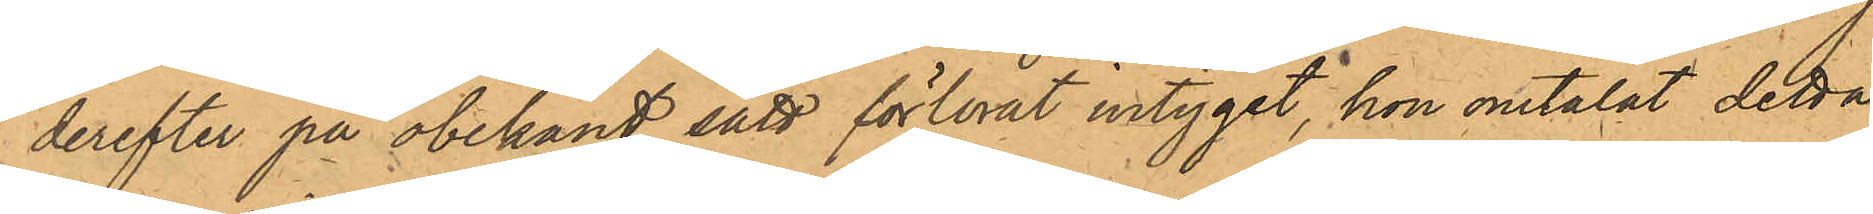derefter på obekant sätt förlorat intyget, hon omtalat detta
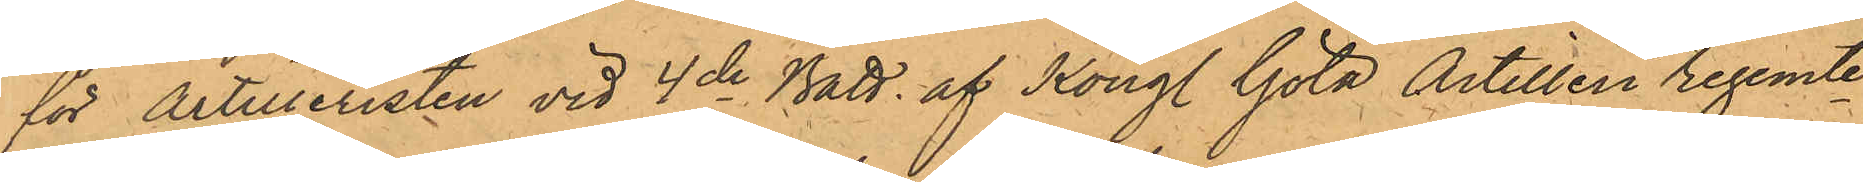för Artilleristen vid 4de Batt. af Kongl. Göta Artilleri regemte
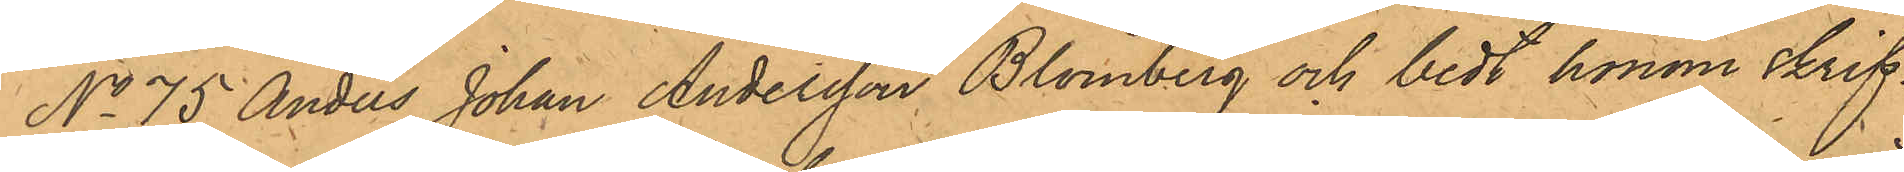No 75 Anders Johan Andersson Blomberg och bedt honom skrif¬
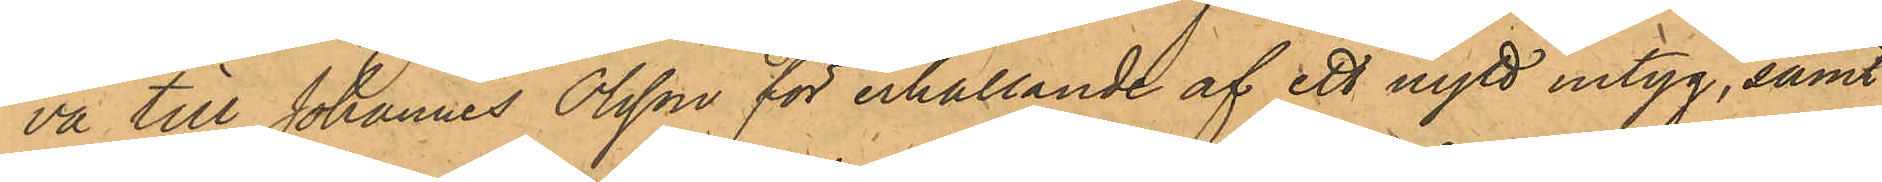va till Johannes Olsson för erhållande af ett nytt intyg, samt
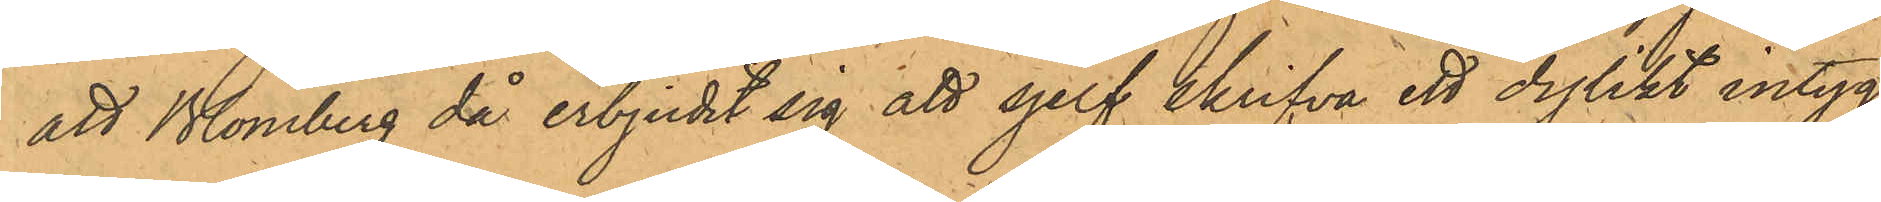att Blomberg då erbjudit sig att sjelf skrifva ett dylikt intyg
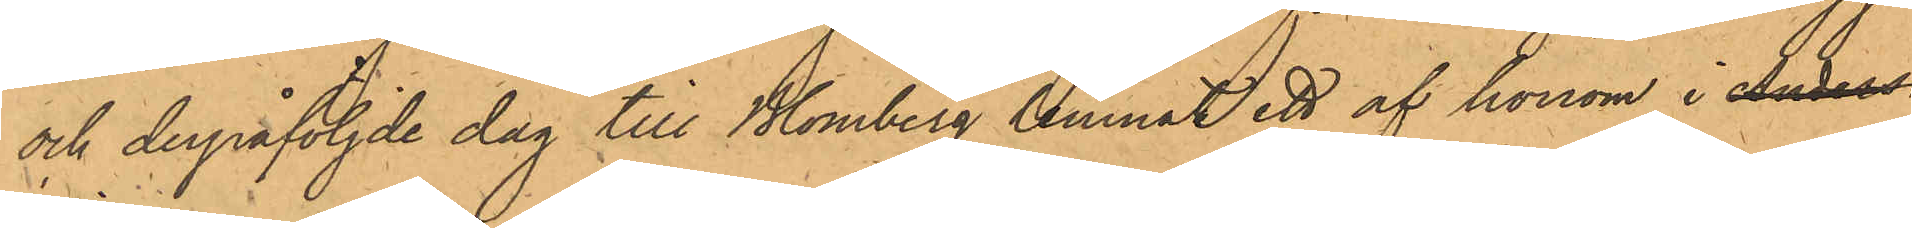och derpåföljde dag till Blomberg lemnat ett af honom i Anders
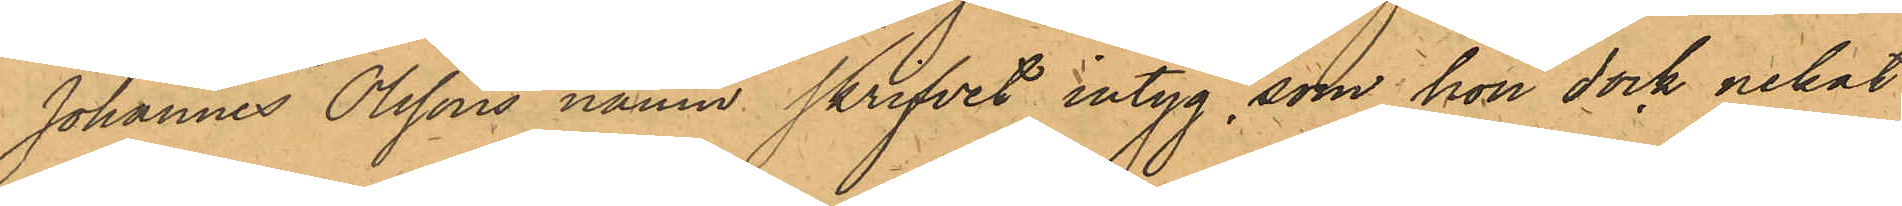Johannes Olssons namn skrifvet intyg, som hon dock nekat
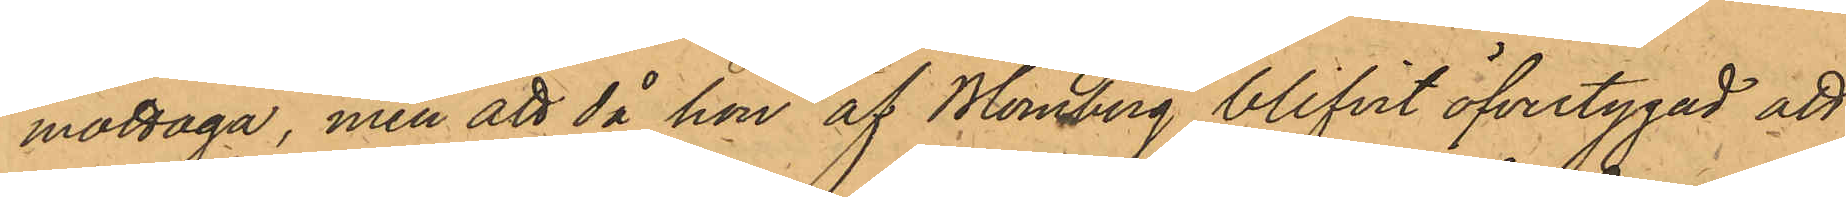mottaga, men att då hon af Blomberg blifvit öfvertygad att
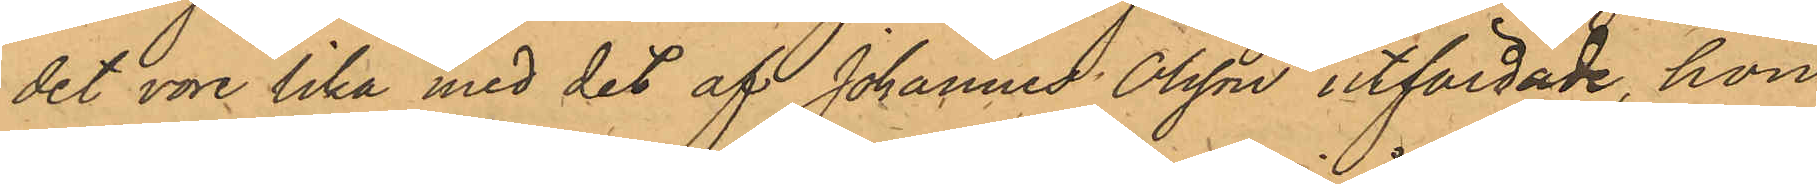det vore lika med det af Johannes Olsson utfärdade, hon
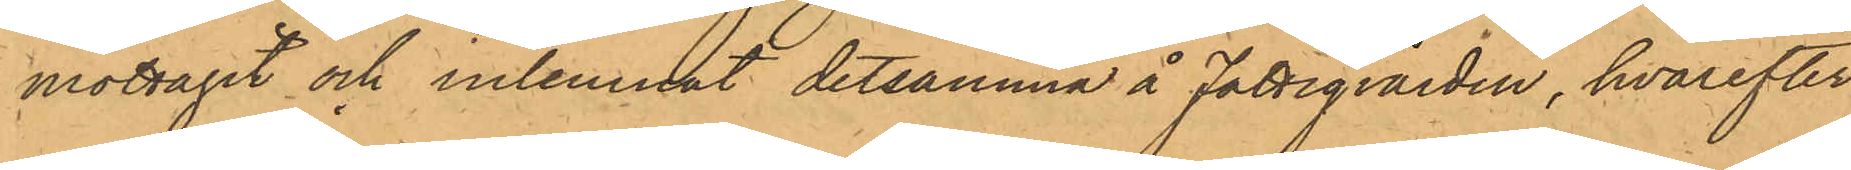mottagit och inlemnat detsamma å Fattigvården, hvarefter
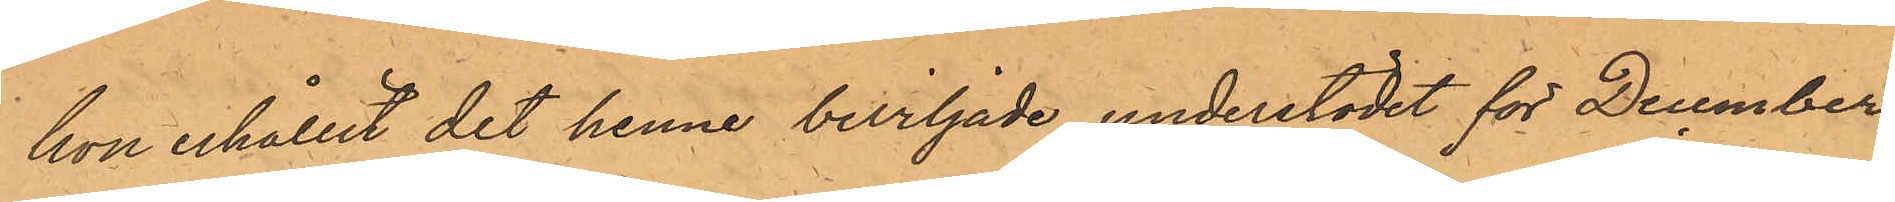hon erhållit det henne beviljade understödet för December
